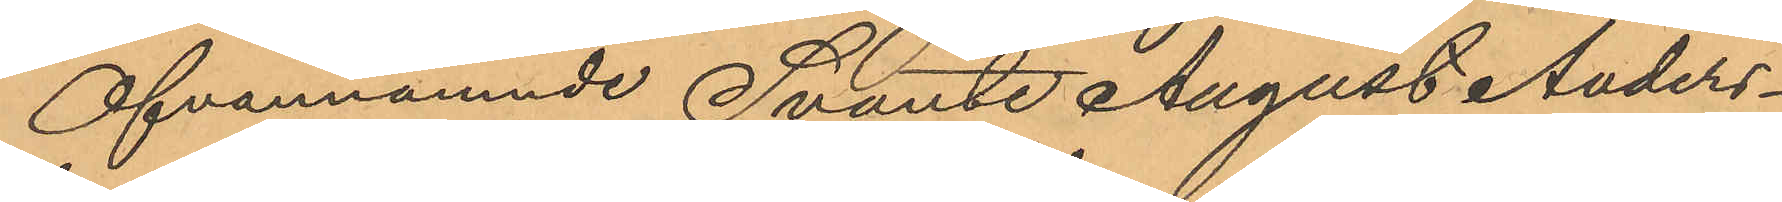Ofvannämnde Svante August Anders¬
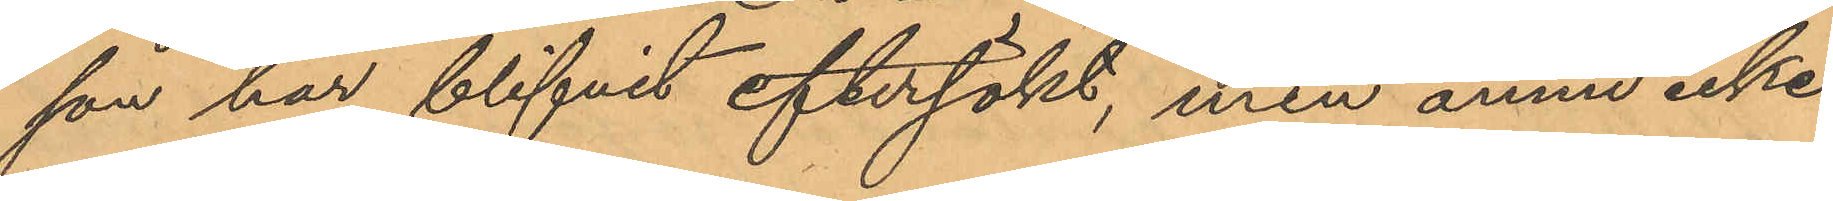son har blifvit eftersökt, men ännu icke
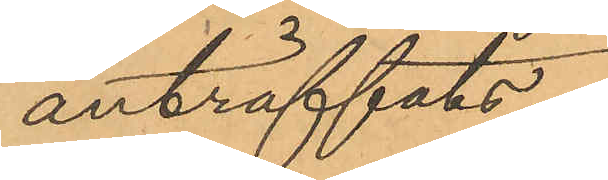anträffats.
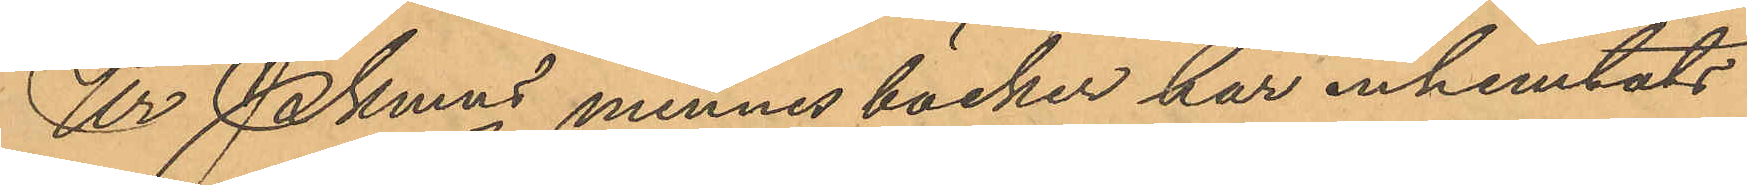Ur Pkmns minnesböcker har inhemtats
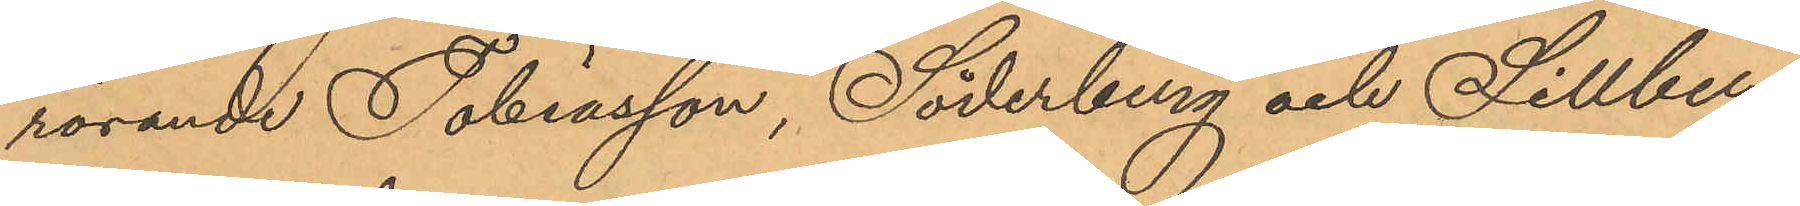rörande Tobiasson, Söderberg och Sillberg
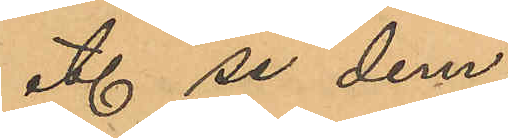etc se dem.
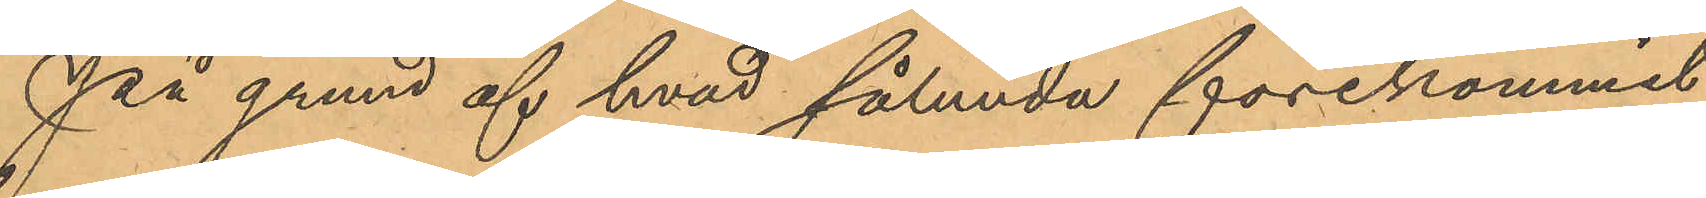På grund af hvad sålunda förekommit
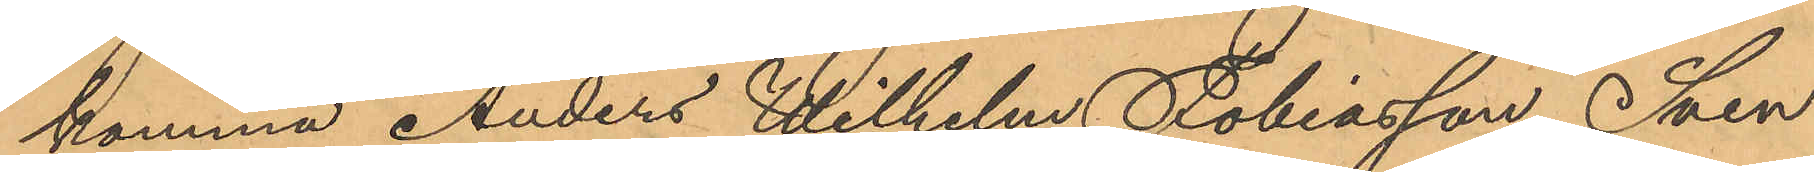komma Anders Wilhelm Tobiasson, Sven
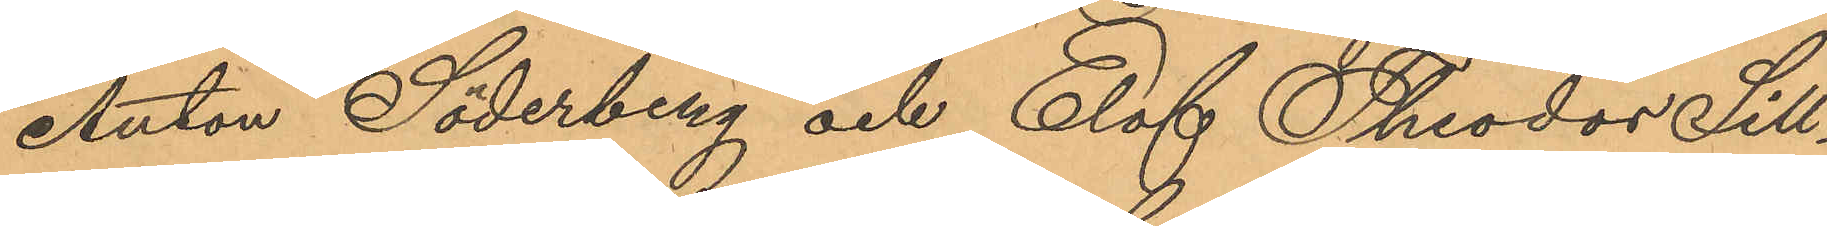Anton Söderberg och Elof Theodor Sill¬
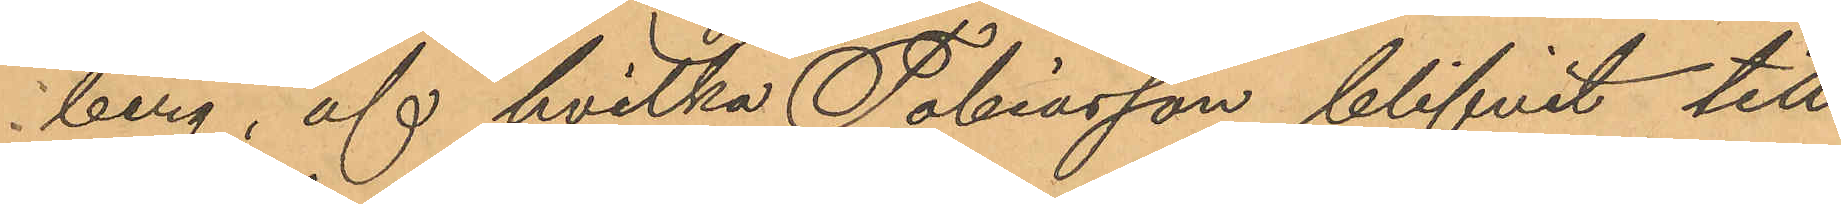berg, af hvilka Tobiasson blifvit till
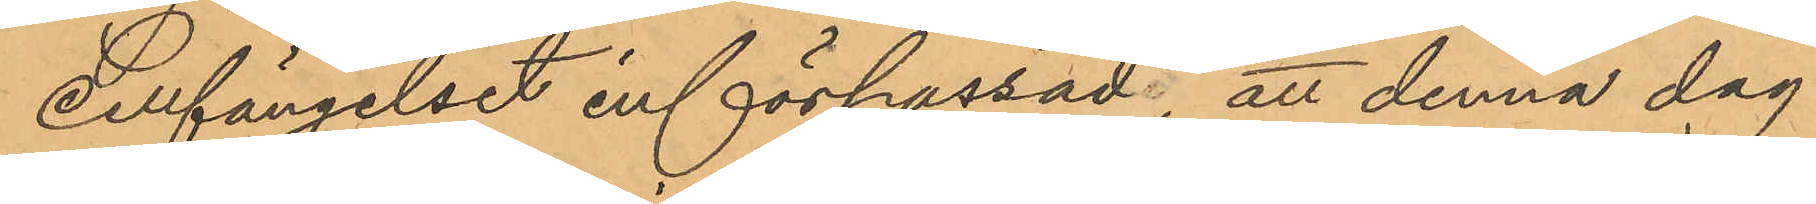cellfängelset införpassad; att denna dag
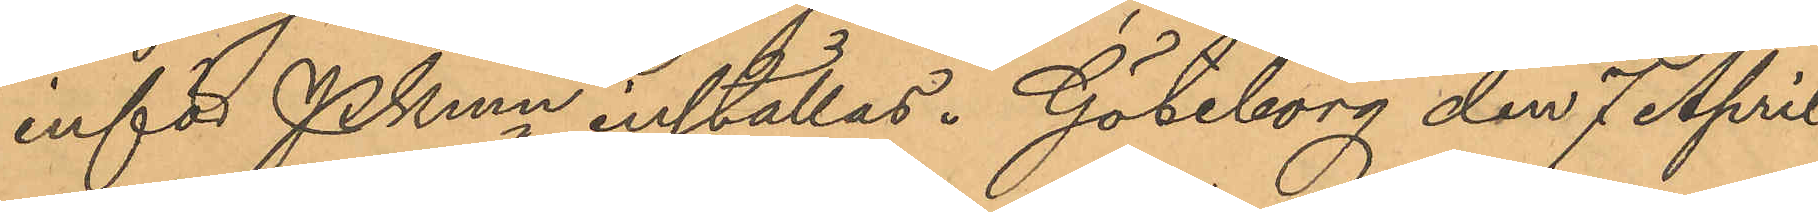inför PKmn inställas. Göteborg den 7 April
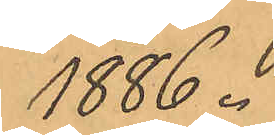1886.
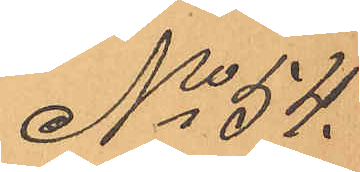No 54.
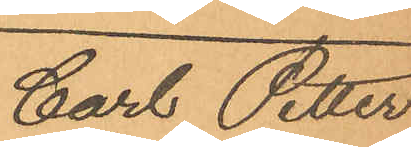Carl Petter
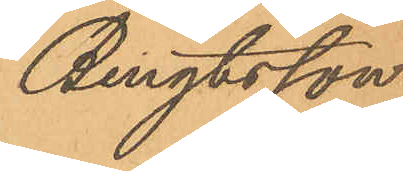Bengtsson.
